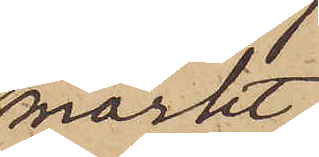mörkt
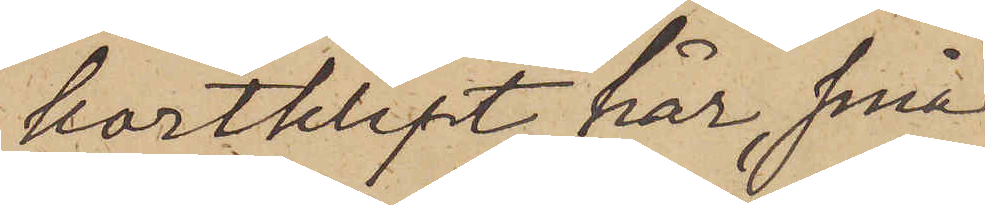kortklipt hår, små
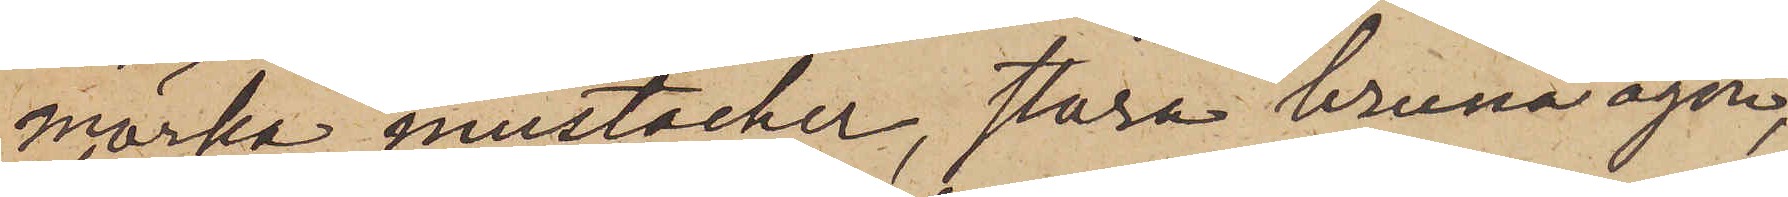mörka mustacher, stora bruna ögon,
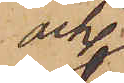och
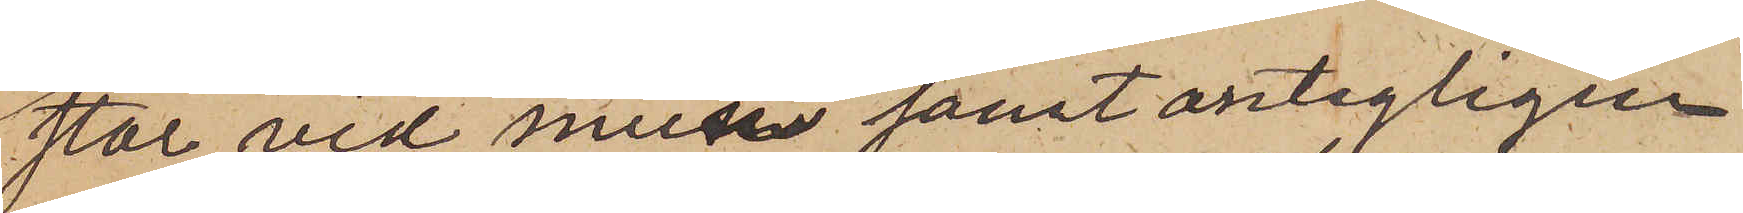stor vid mun samt antagligen
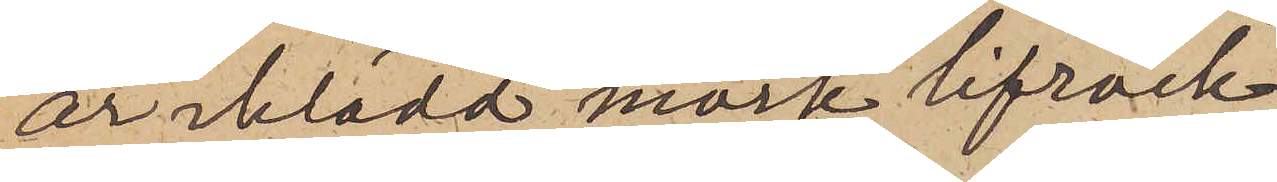är iklädd mörk lifrock
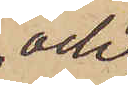och
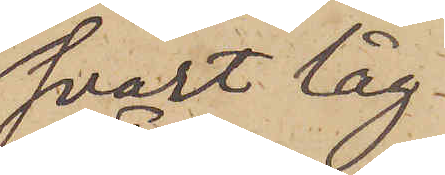svart låg
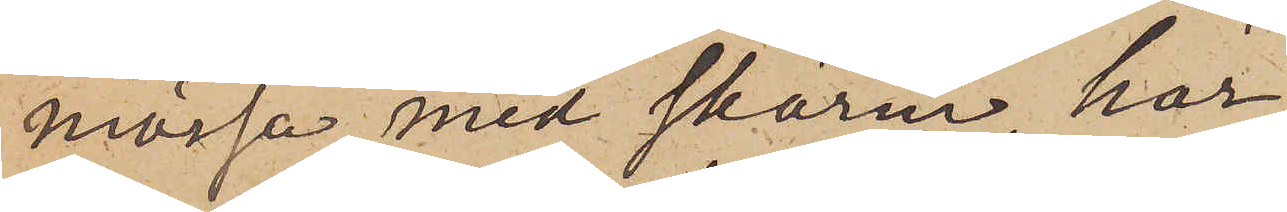mössa med skärm, har
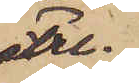Fre¬
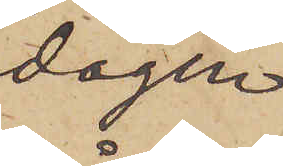dagen
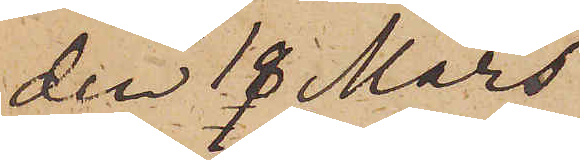den 18 Mars
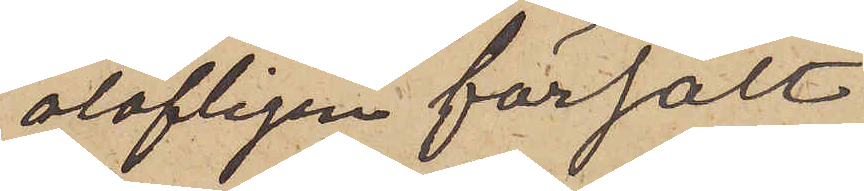olofligen försålt
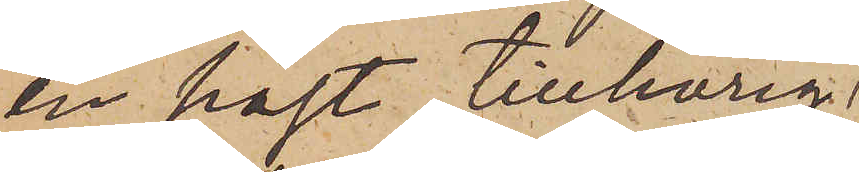en häst, tillhörig
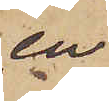en
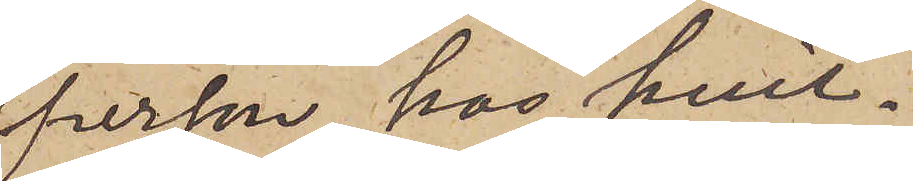person, hos hvil¬
